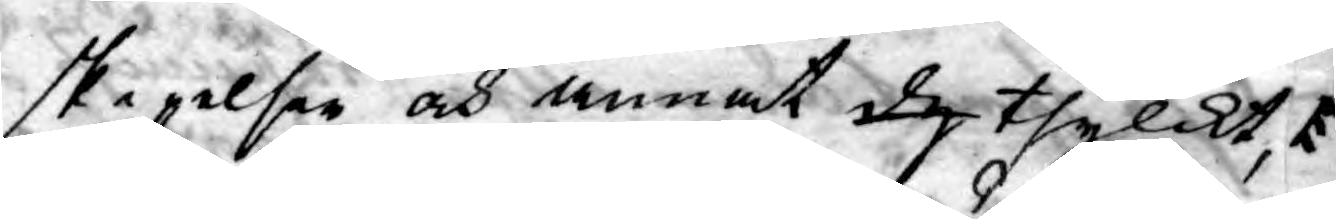skepelser och annat dy thylickt,
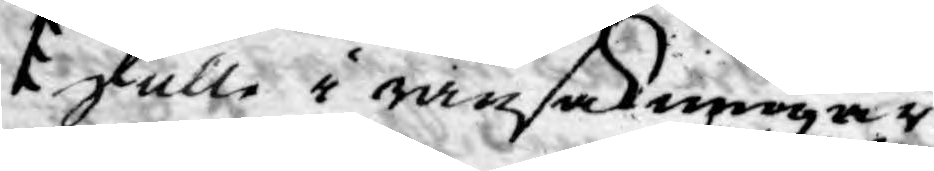skulle i ransakningar
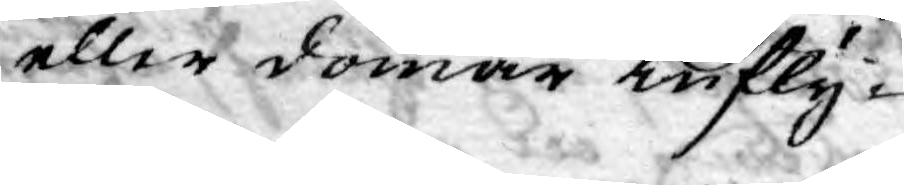eller domar infly¬
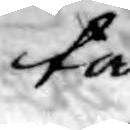ta
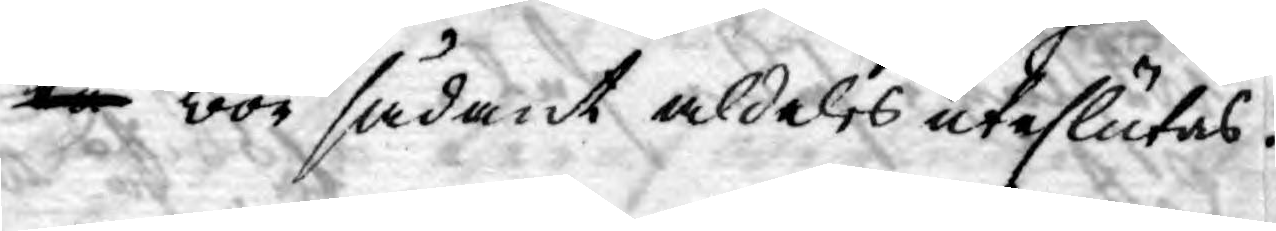tå bör sådant aldeles uteslutas.
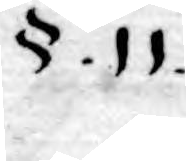§. 11.
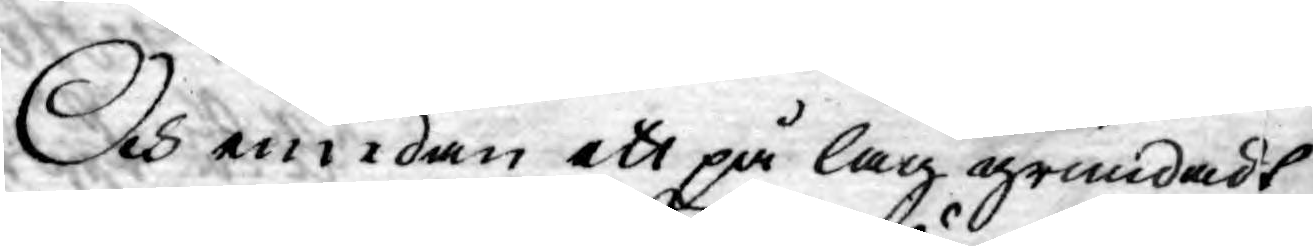Och emedan ett på lag grundadt
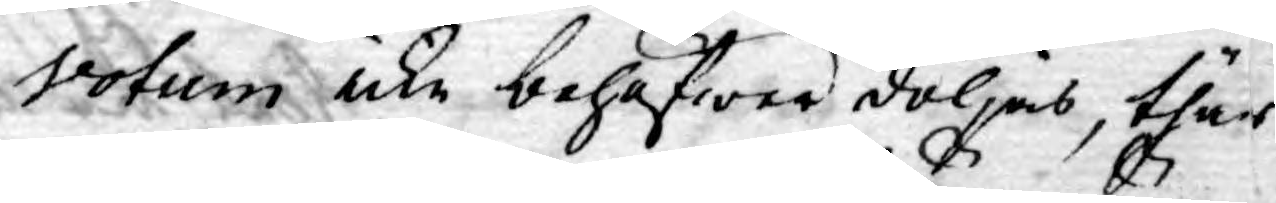votum icke behöfwer döljas, thär
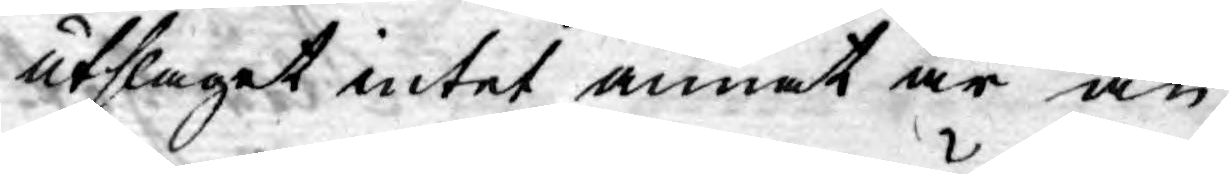utslaget intet annat är än
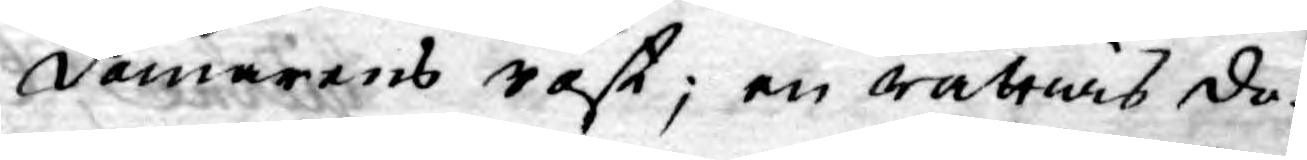domarens röst; en rättiens do¬
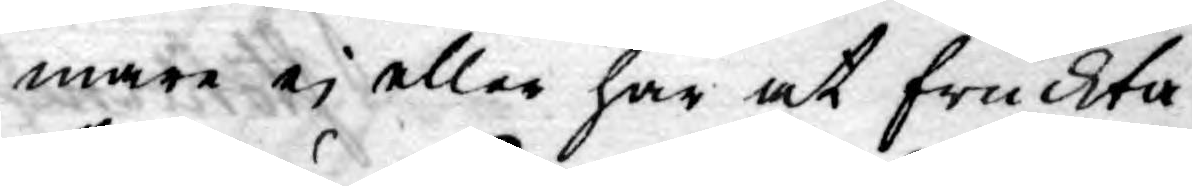mare ej eller har at fruckta
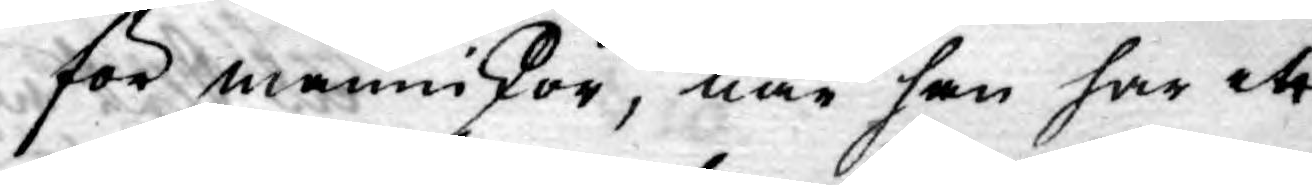för mäninskor, när han har ett
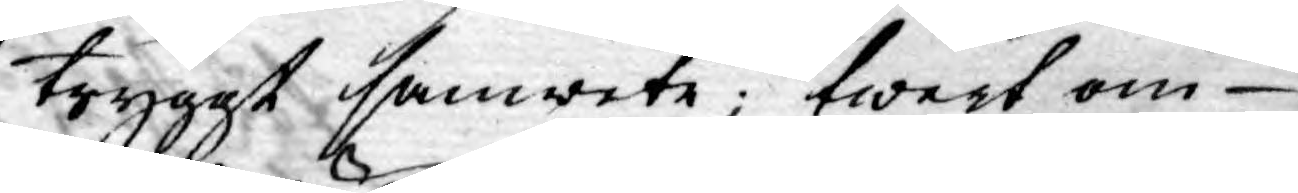tryggt samwete; twert om
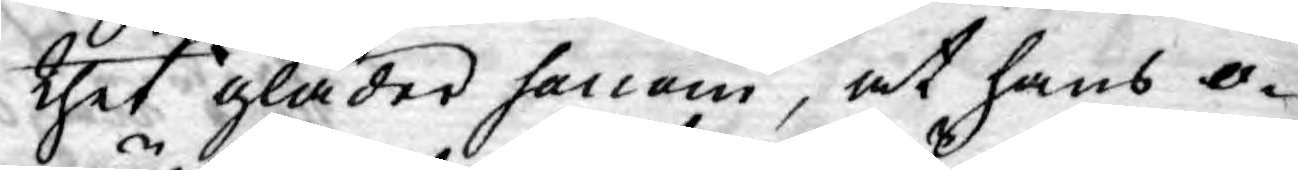thet gläder honom, at hans o¬
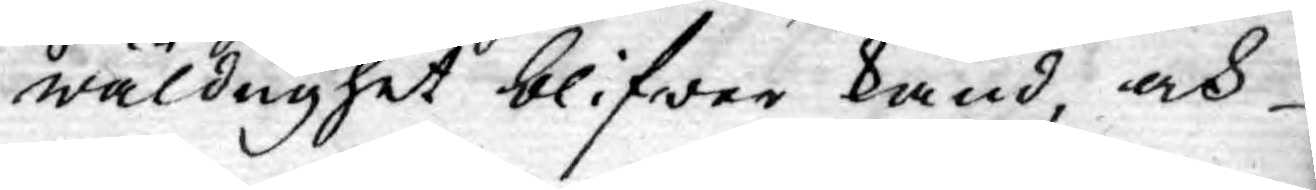wäldighet blifwer känd, och
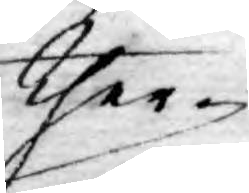ther-
